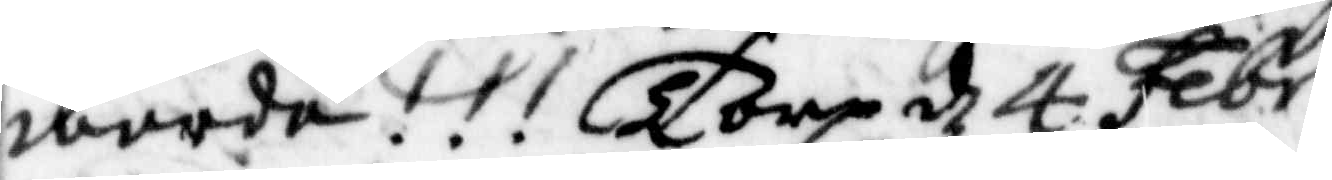warda!!! Torp d 4 Febr
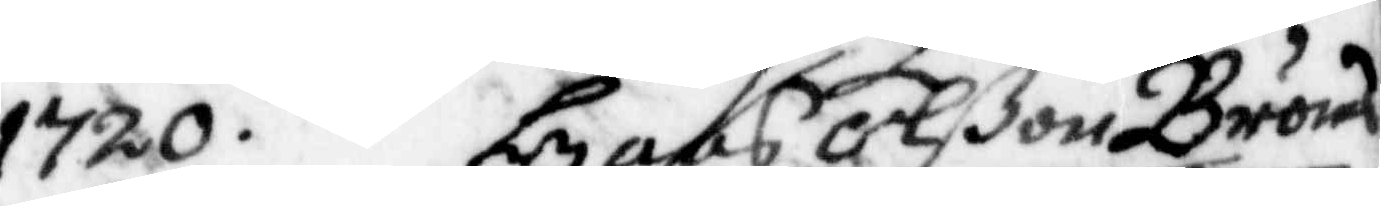1720.Hans Olßon Bröms
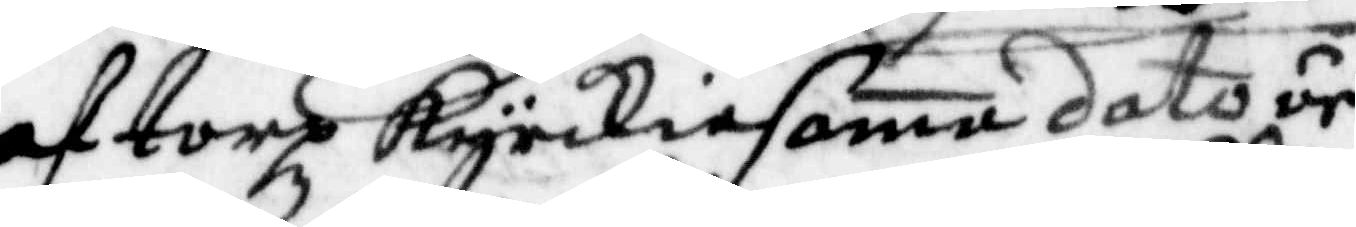af torp kyrkia sama dato är
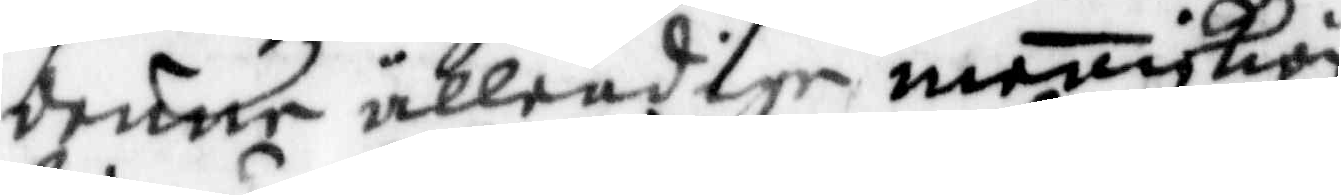denne ällendige meniskian
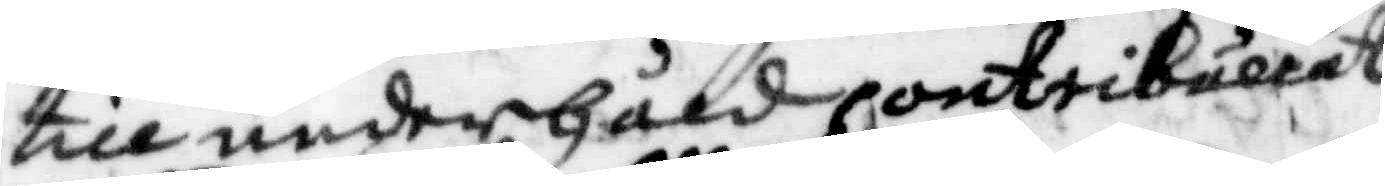till underhåld contribuerat
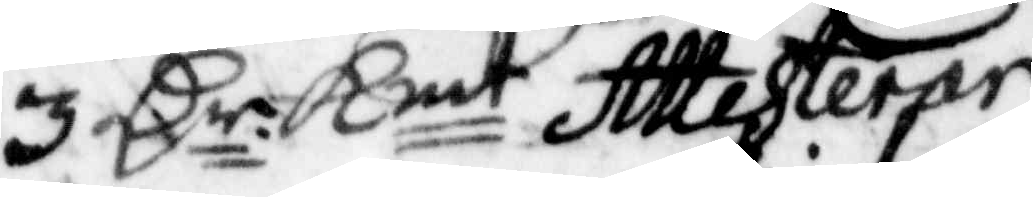3 Cr Kmt Attesterar
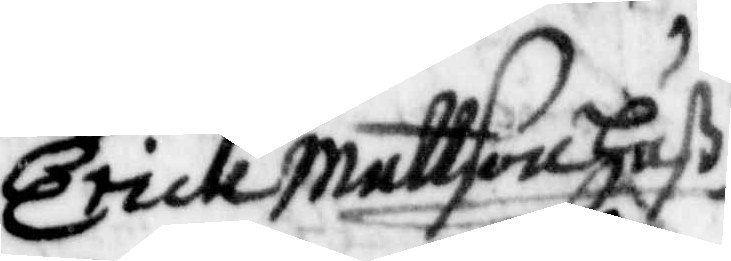Erick Mattson Huß
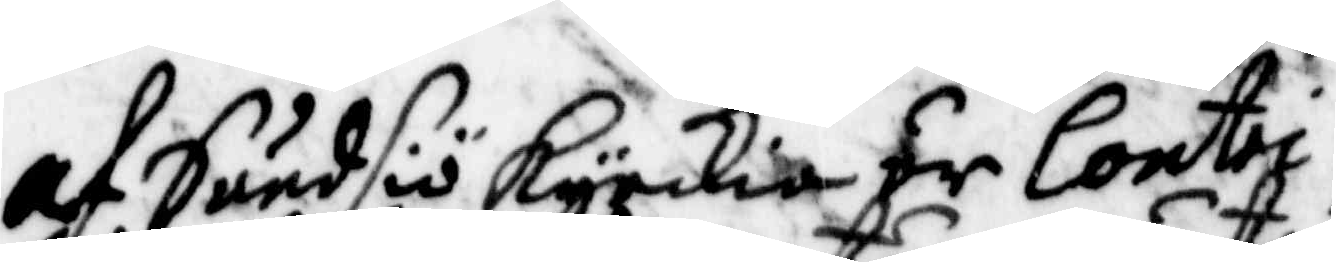af Sundsiö Kyrkia är Contri¬
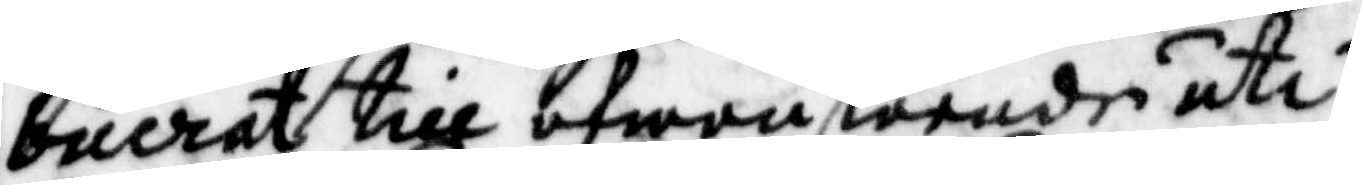buerat till ofwanstående uti
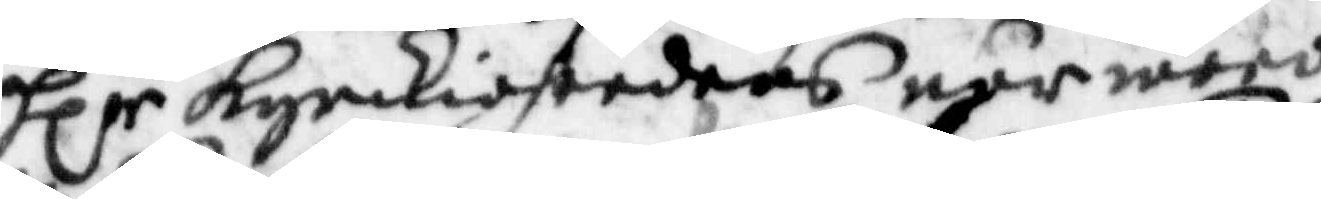Hlr Kyrkio herdens når woro
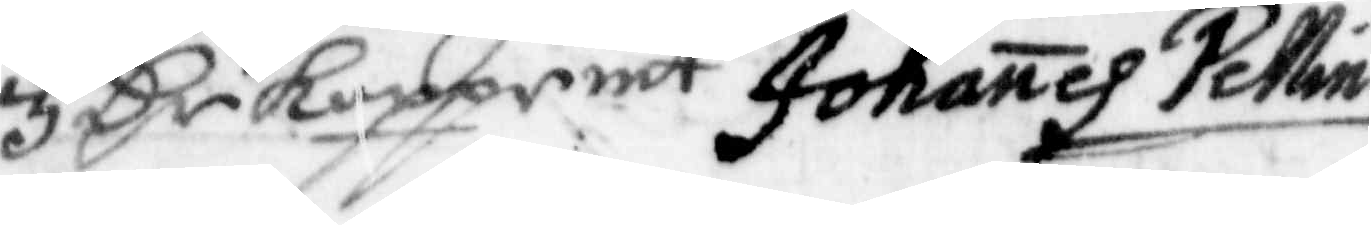3 Cr Kopprmt Johanes Pellin
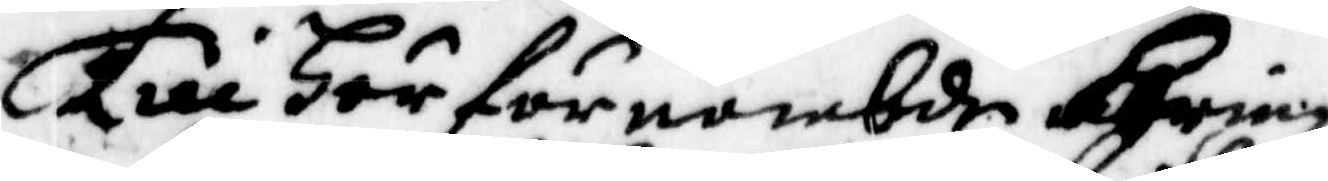Till Här för nämbde Hring¬
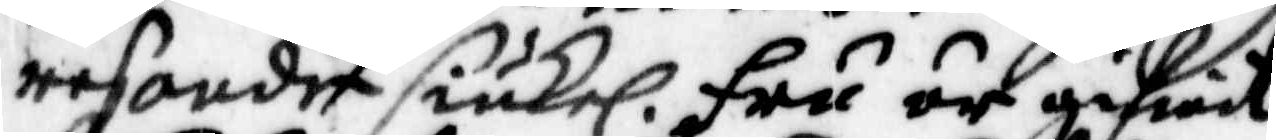resoude siukel. Fru är gifwit
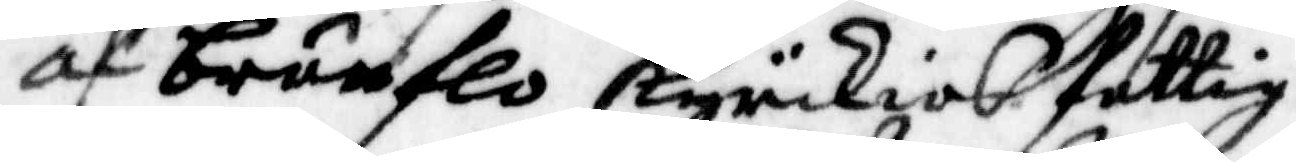af brunflo Kyrckias fattig¬
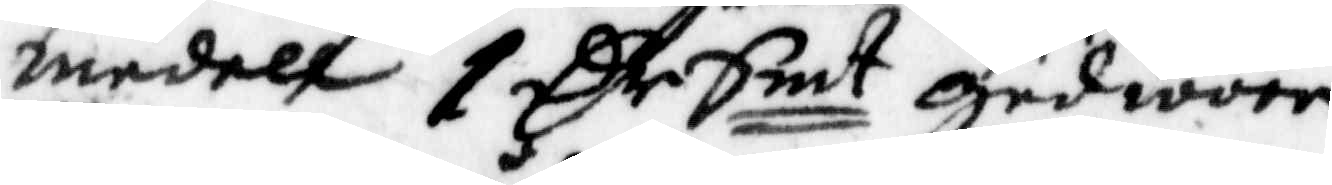medell 1 Cr Smt gud wore
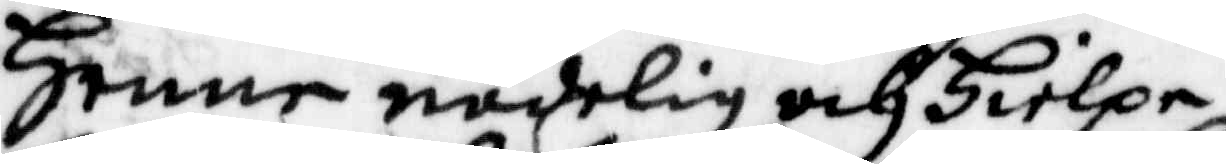Henne nådelig och Hielpe
